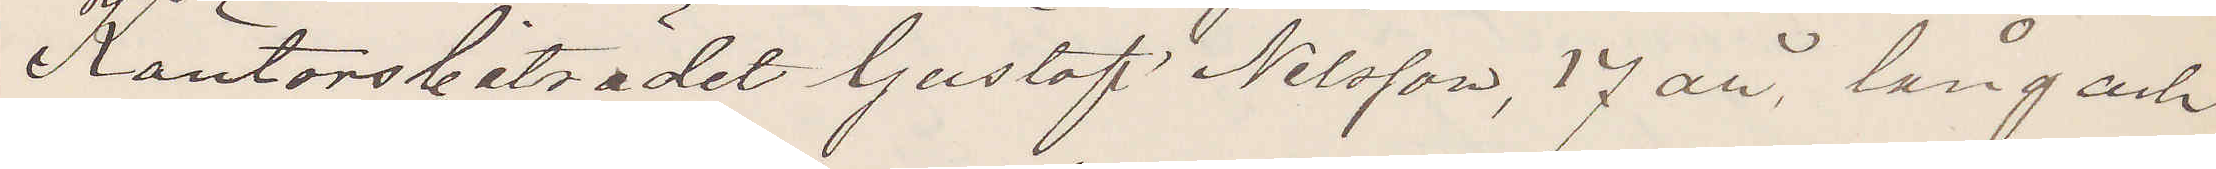Kontorsbiträdet Gustaf Nilsson, 17 år, lång ach
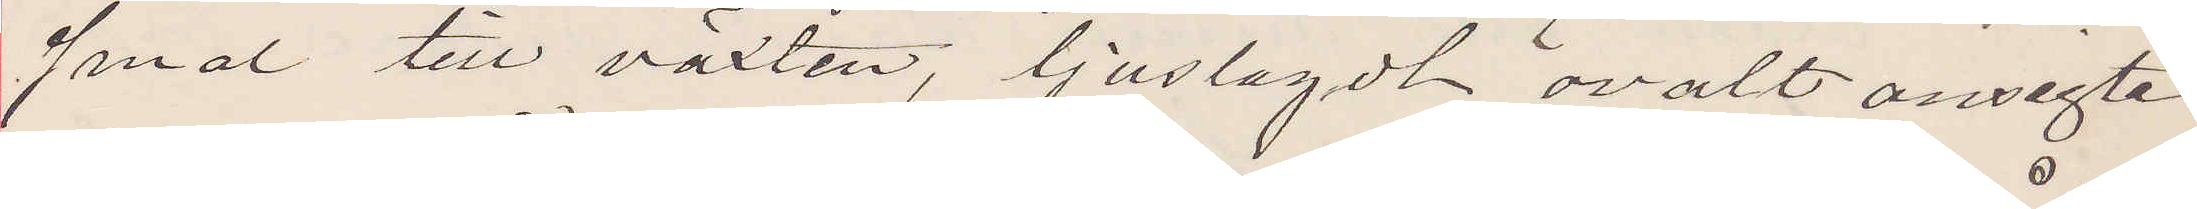smal till växten, ljuslagdt ovalt ansigte
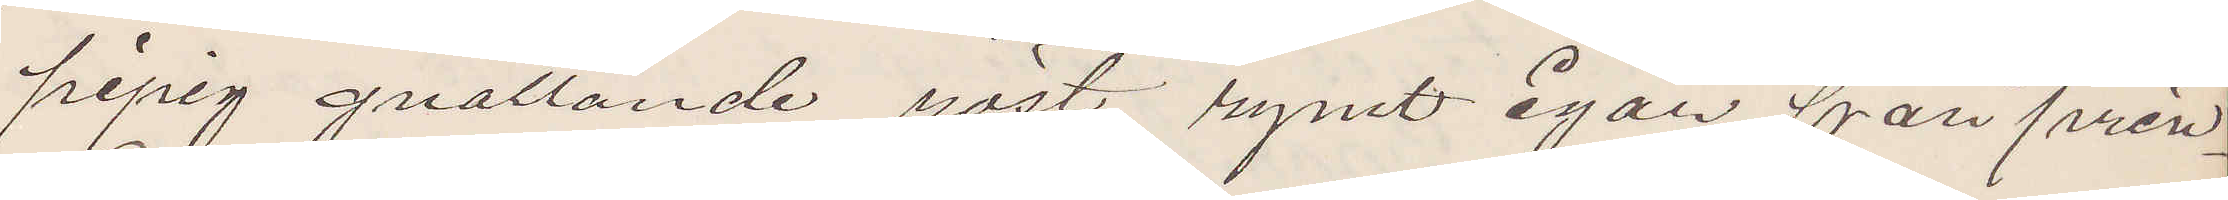pipig gnällande röst, rymt igår från prin¬
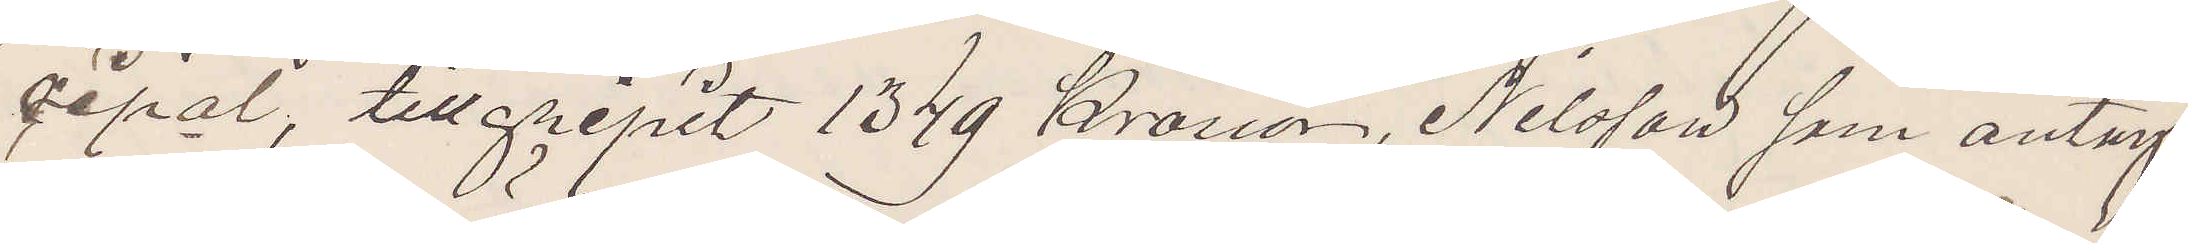cipal, tillgripit 1349 Kronor, Nilsson, som antag¬
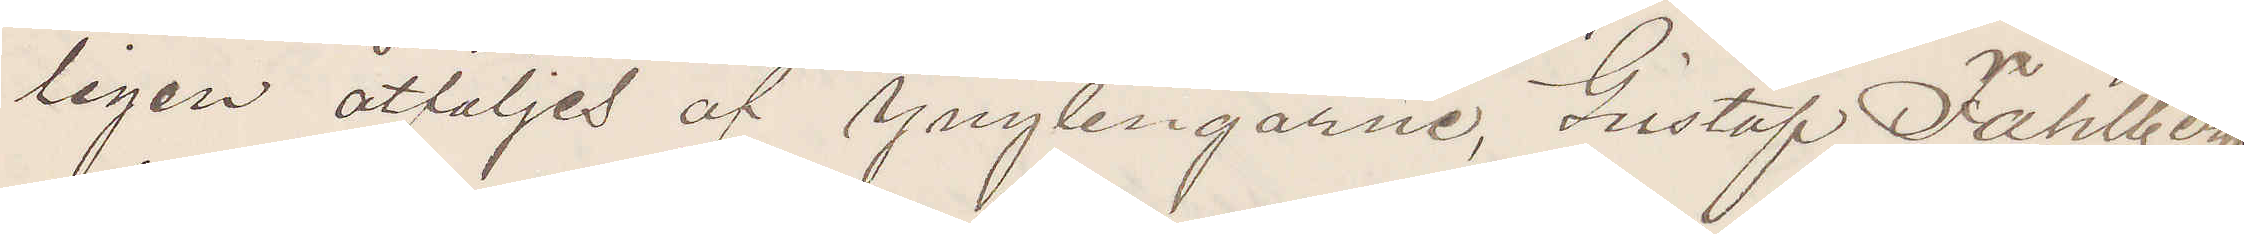ligen åtföljes af Ynglingarne, Gustaf Fahlberg
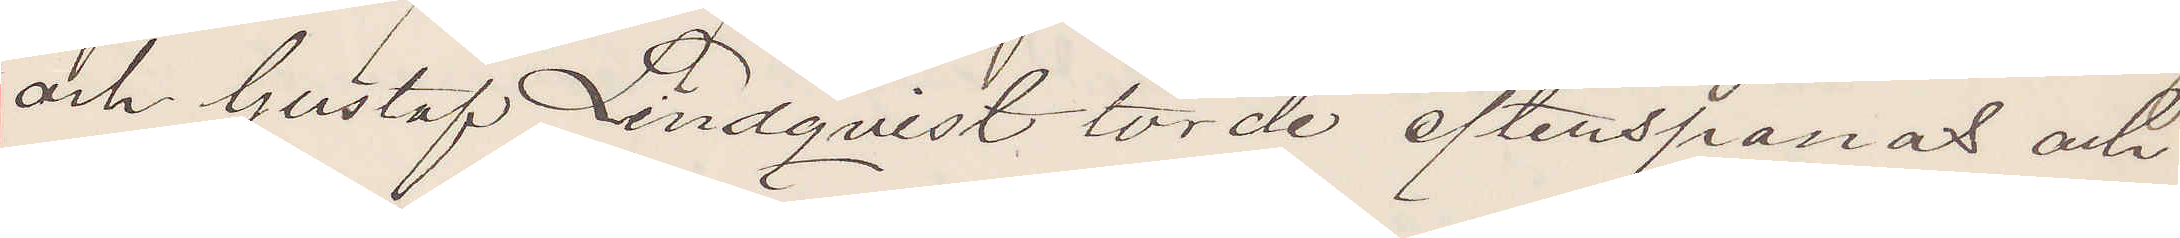och Gustaf Lindqvist torde efterspanas och
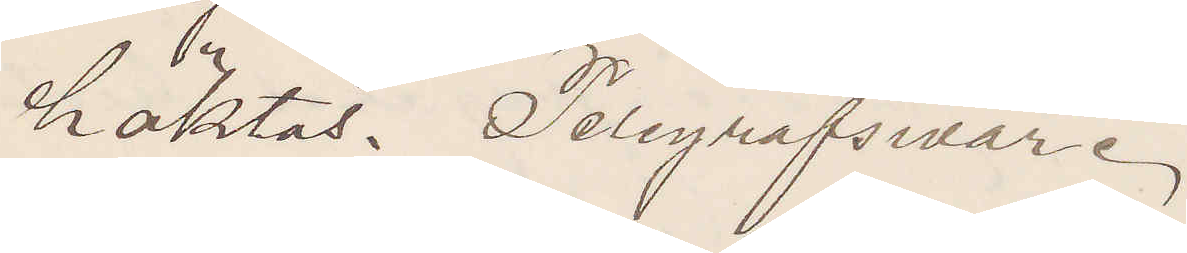häktas. Telegrafsvar.
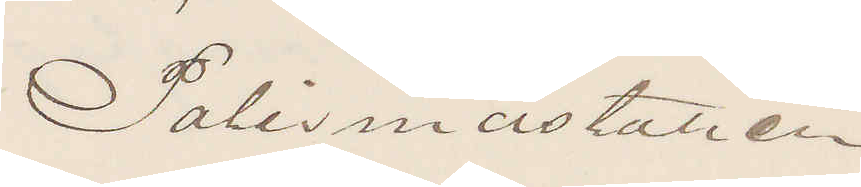Polismästaren.
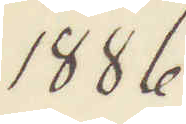1886
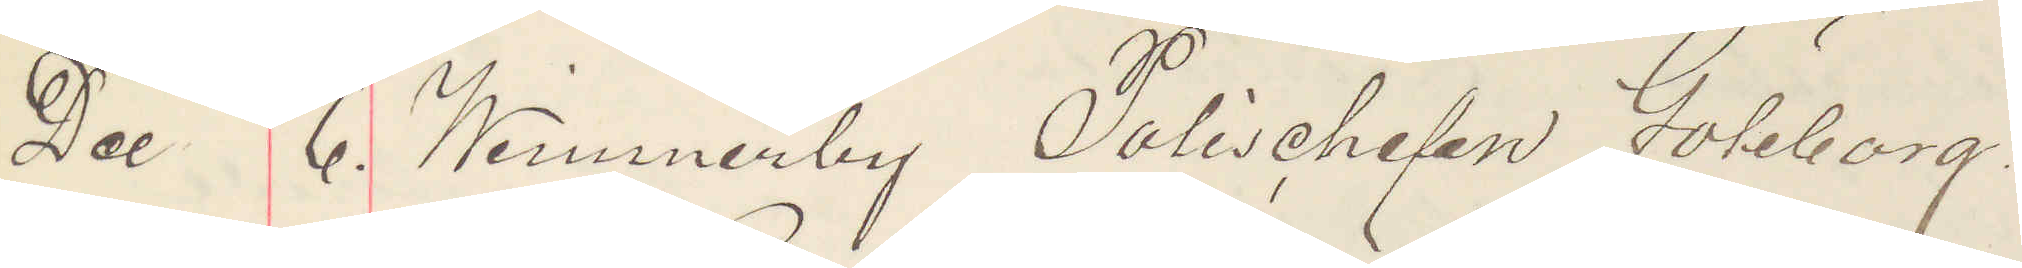Dece 6. Wimmerby Polischefen Göteborg,
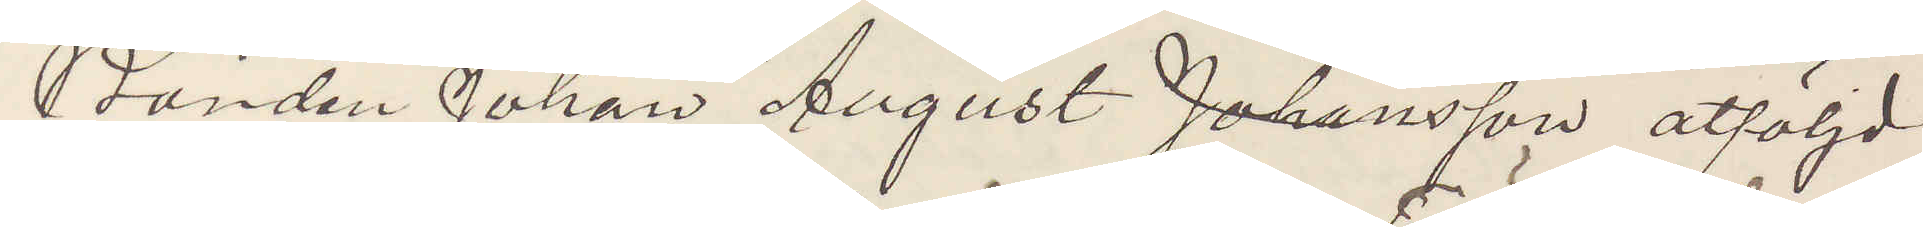Bonden Johan August Johansson åtföljd
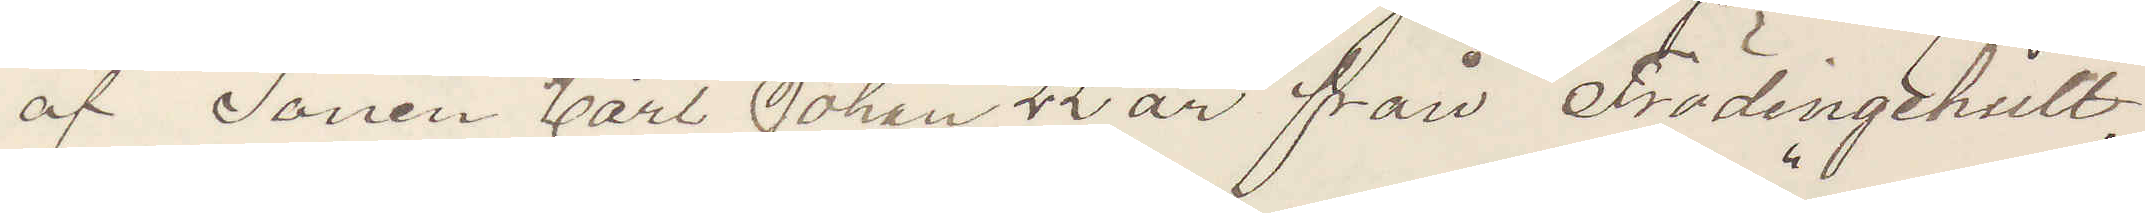af Sonen Carl Johan 22 år från Frödingehult,
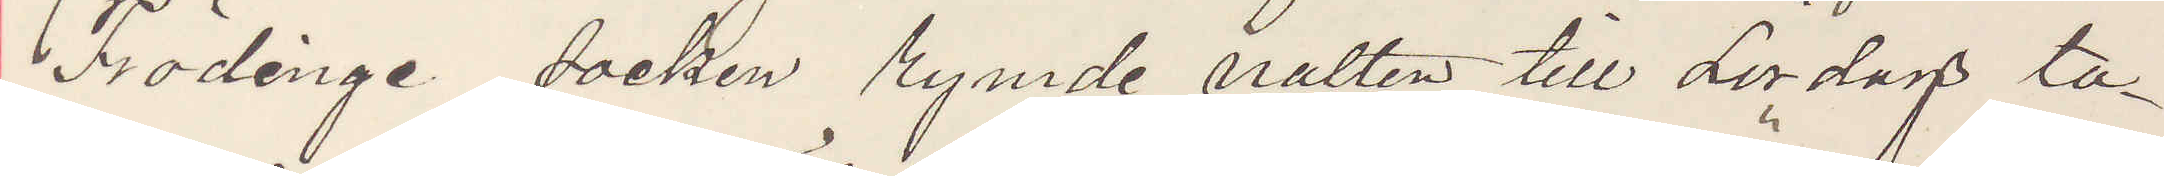Frödinge socken rymde natten till Lördag ta¬
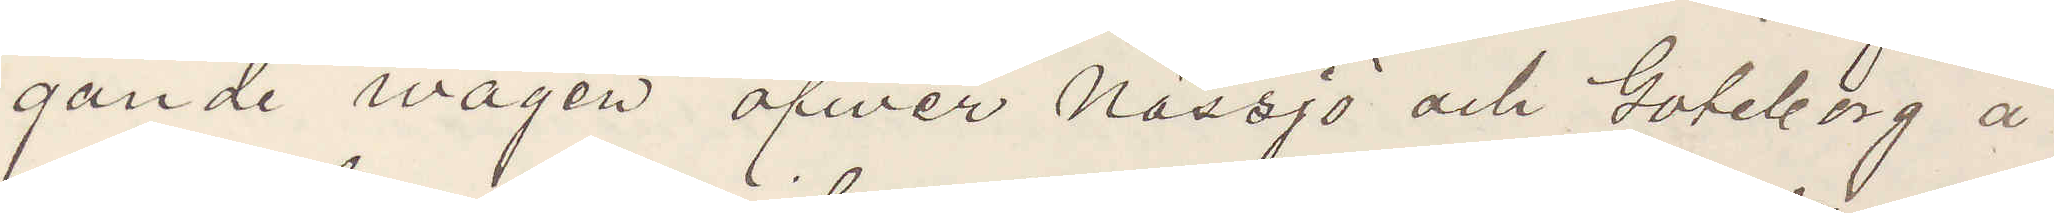gande vägen öfwer Nässjo och Göteborg å
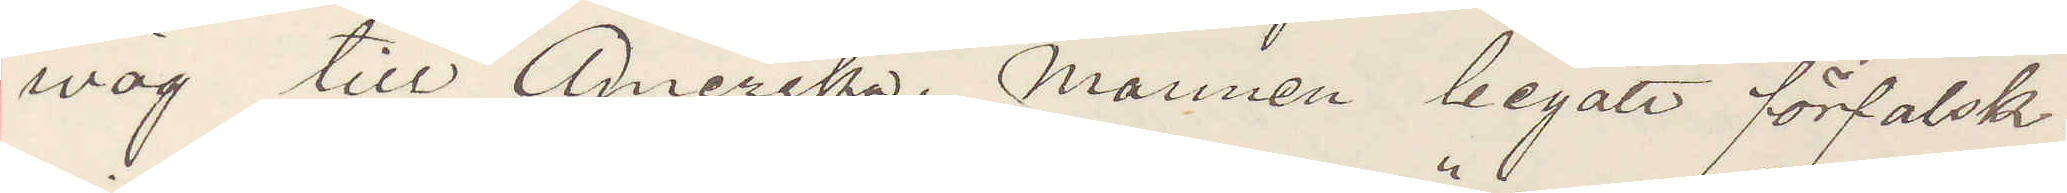wäg till Amerika. Mannen begått förfalsk¬
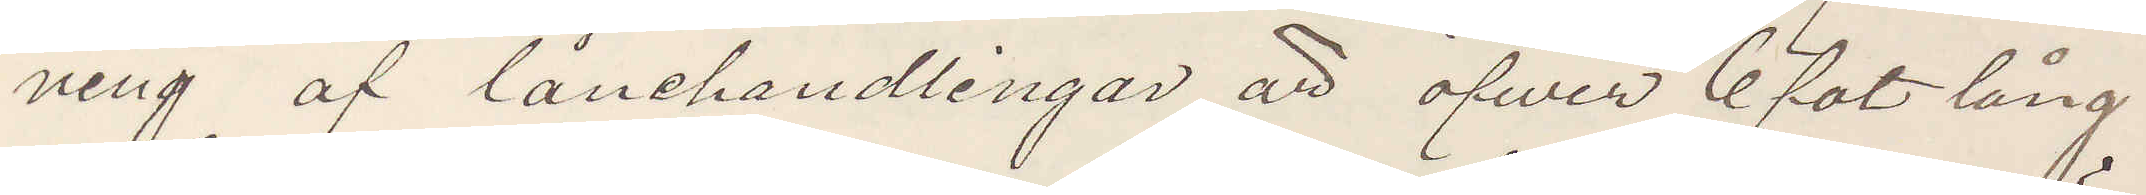ning af lånehandlingar är öfwer 6 fot lång
